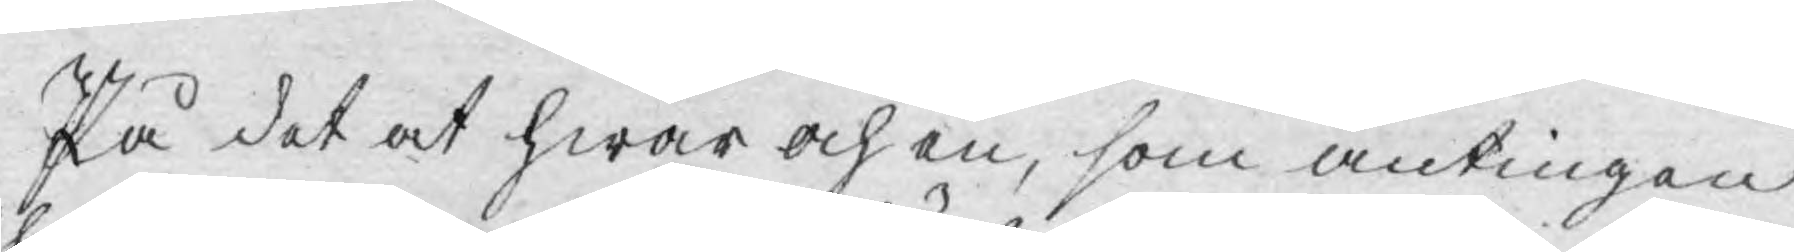På det at hwar och en, som antingen
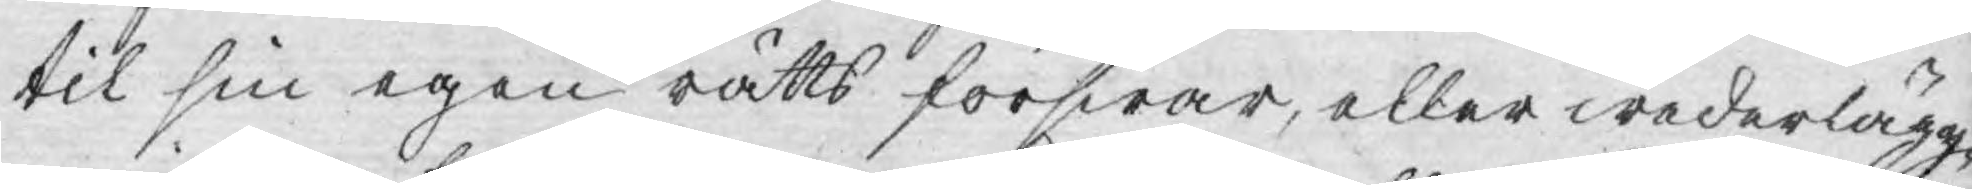til sin egen rätts förswar, eller wederlägg¬
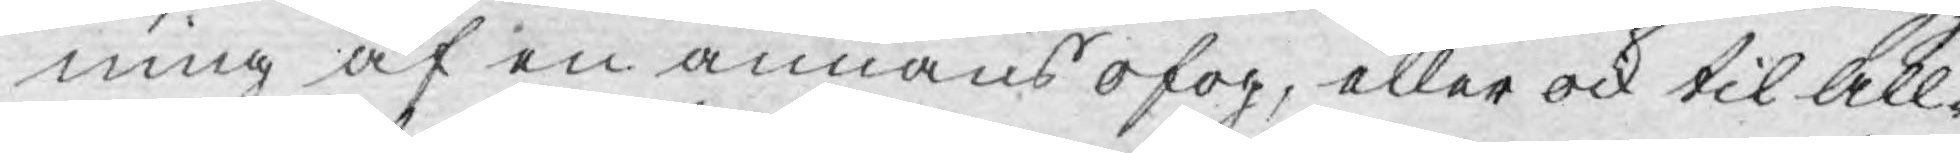ning af en annans ofog, eller ock til All¬
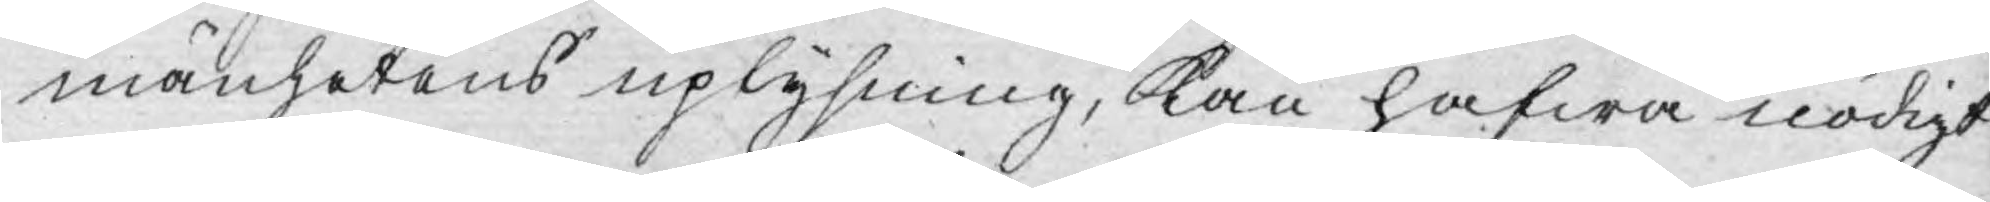mänhetens uplysning, Kan hafwa nödigt
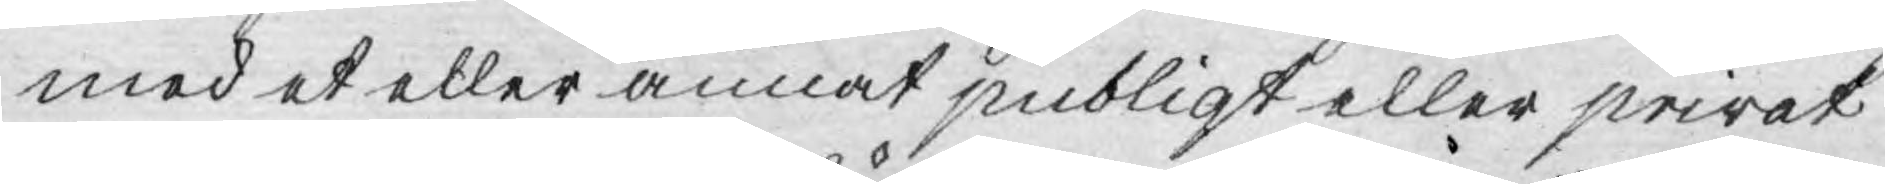med et eller annat publiqt eller privat
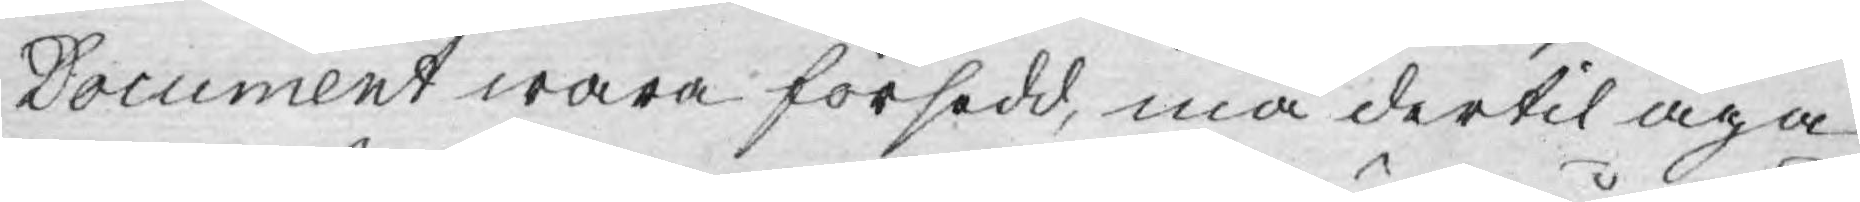Document wara försedd, må dertil äga
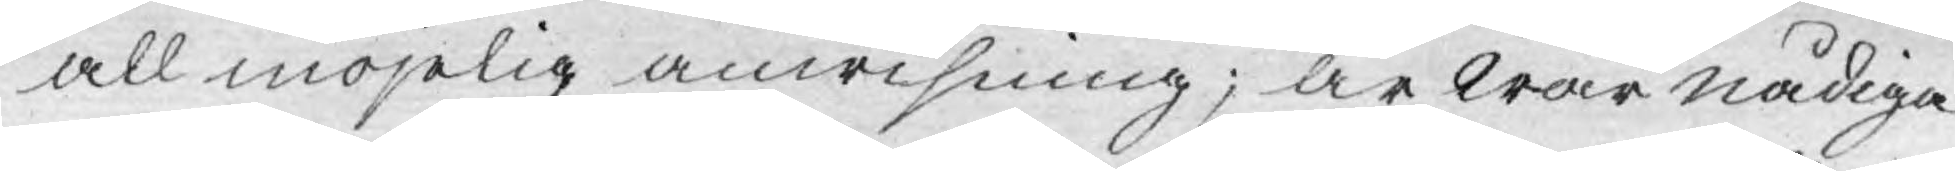all möjelig anwisning; är wår nådiga
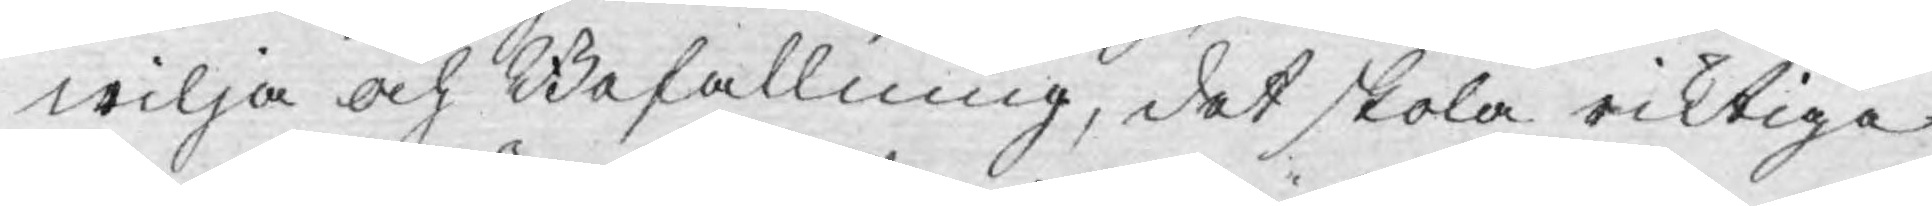wilja och Befallning, det skola riktiga
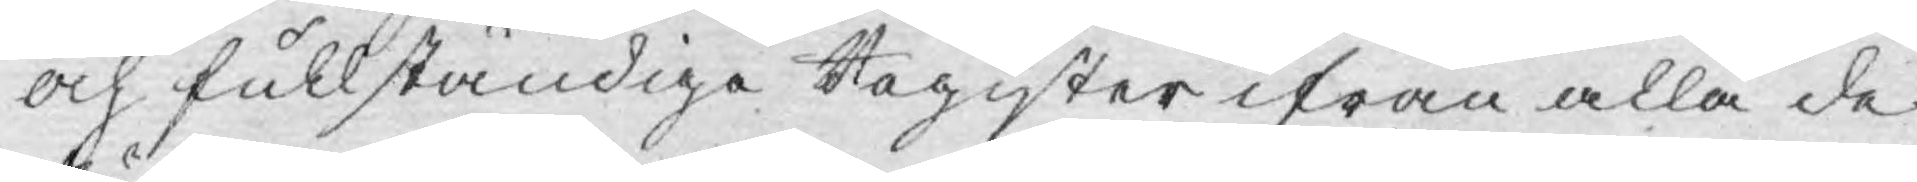och fullständiga Register ifrån alla de
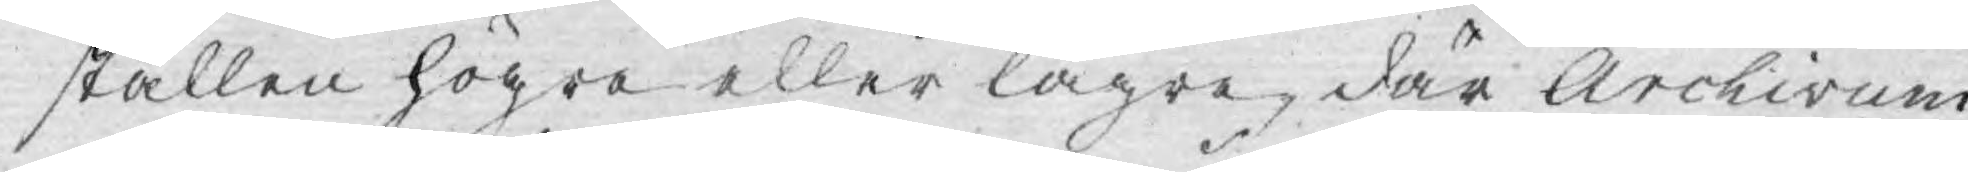ställen högre eller lägre, där Archivum
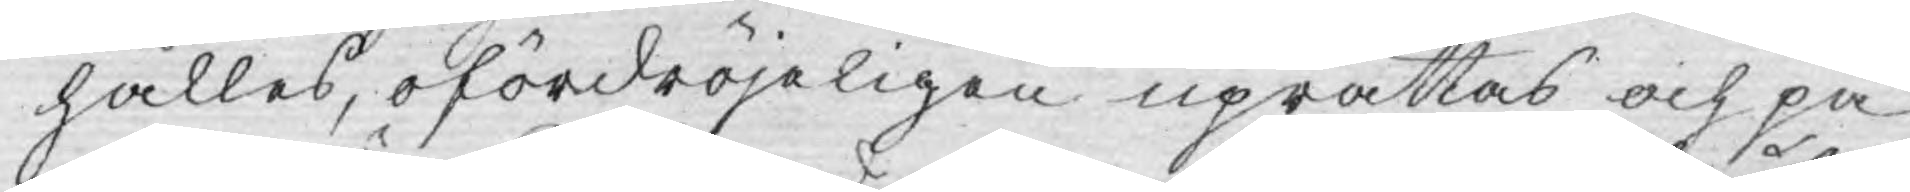hålles, ofördröjeligen uprättas och på
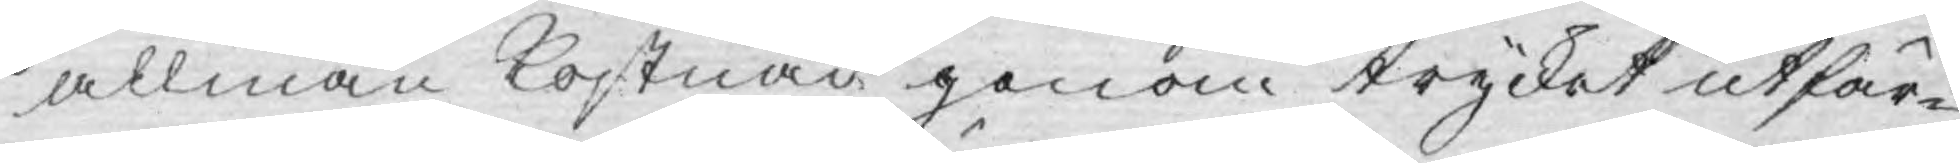allmän Kostnad genom trycket utfär¬
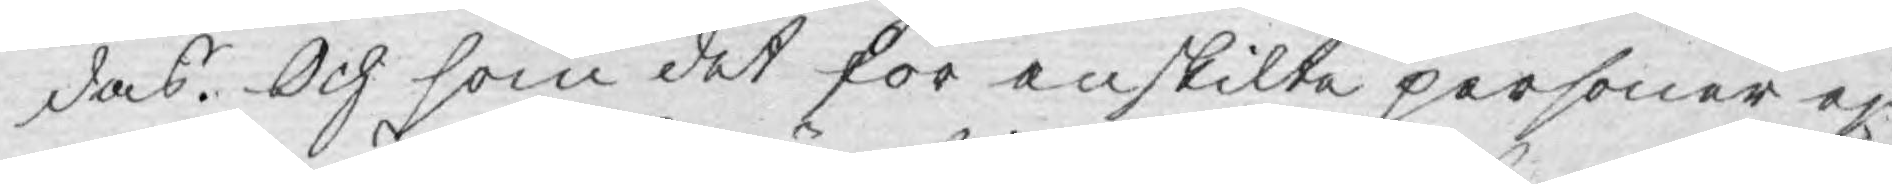das. Och som det för enskilte personer ej
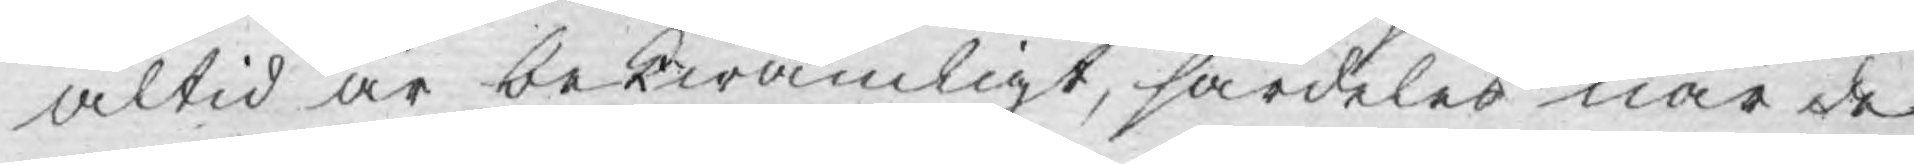altid är bekwämligt, särdeles när de
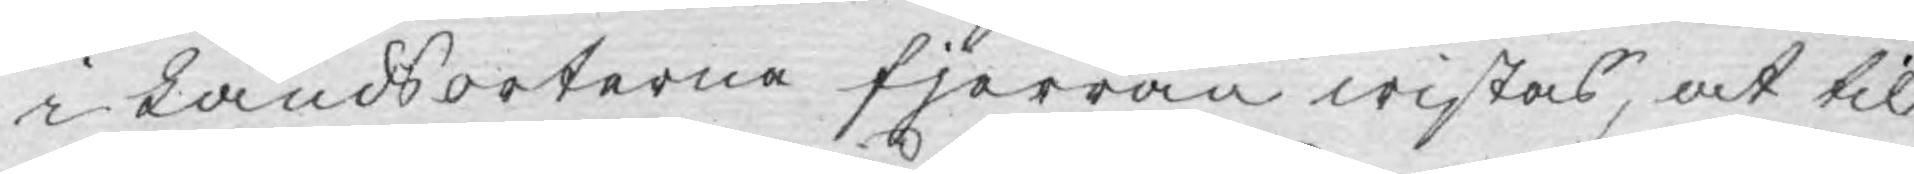i Landsorterne fjerran wistas, at til
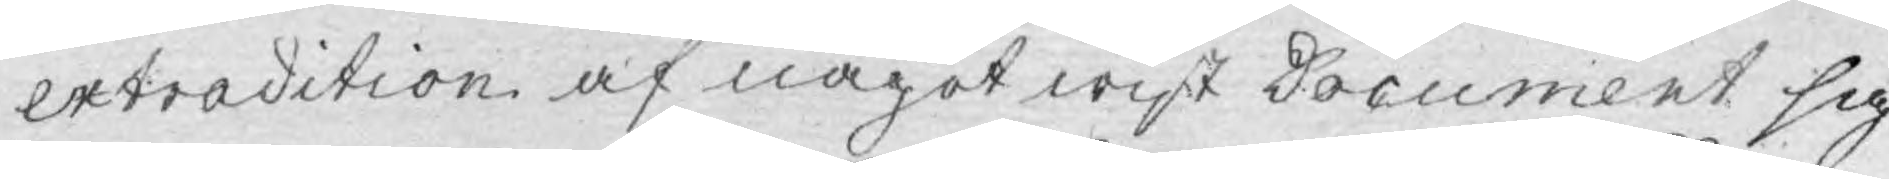extradition af något wist Document sig
